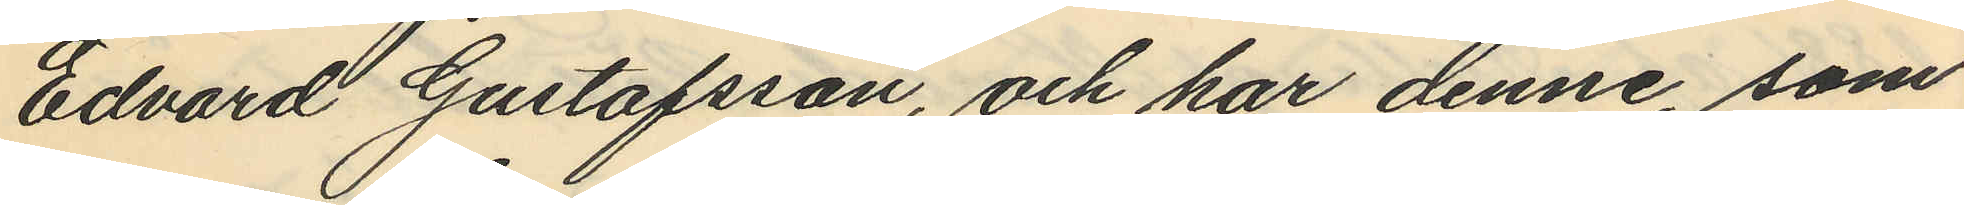Edvard Gustafsson, och har denne, som
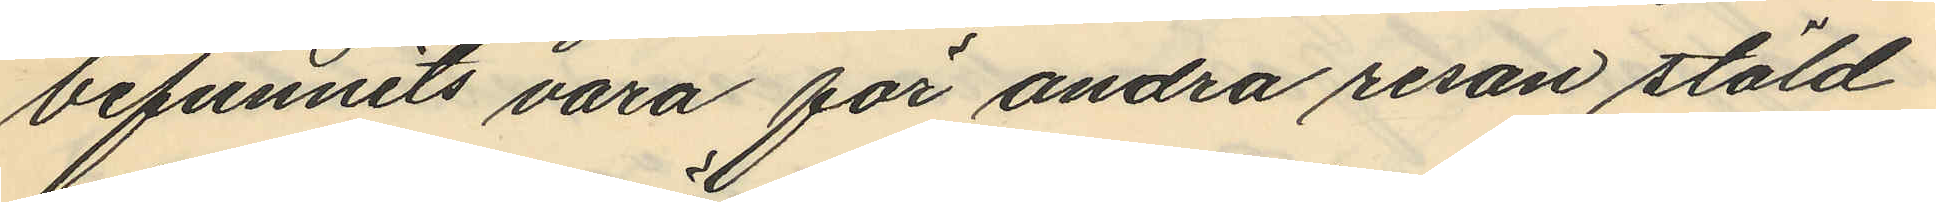befunnits vara för andra resan stöld
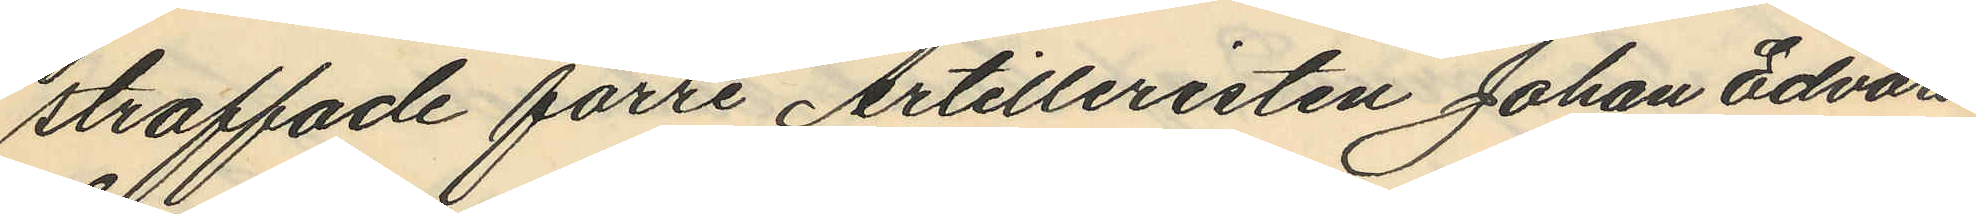straffade förre Artilleristen Johan Edvard
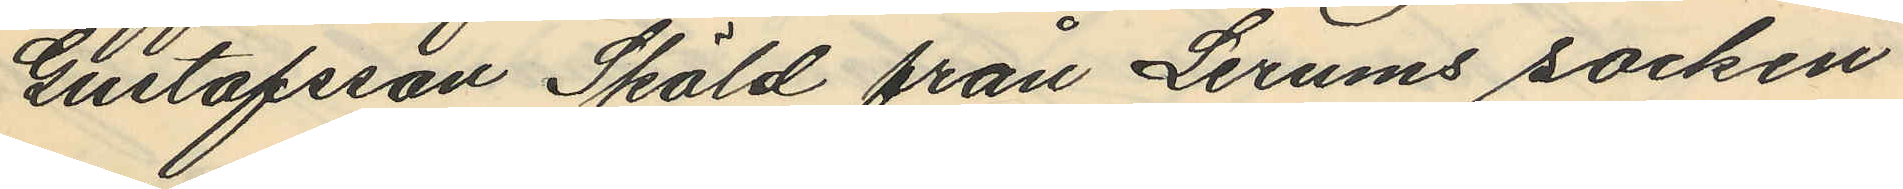Gustafsson Sköld från Lerums socken
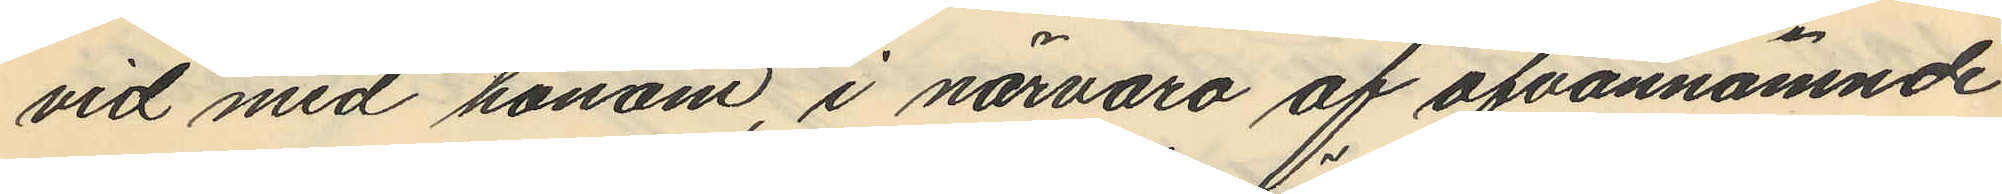vid med honom, i närvaro af ofvannämnde
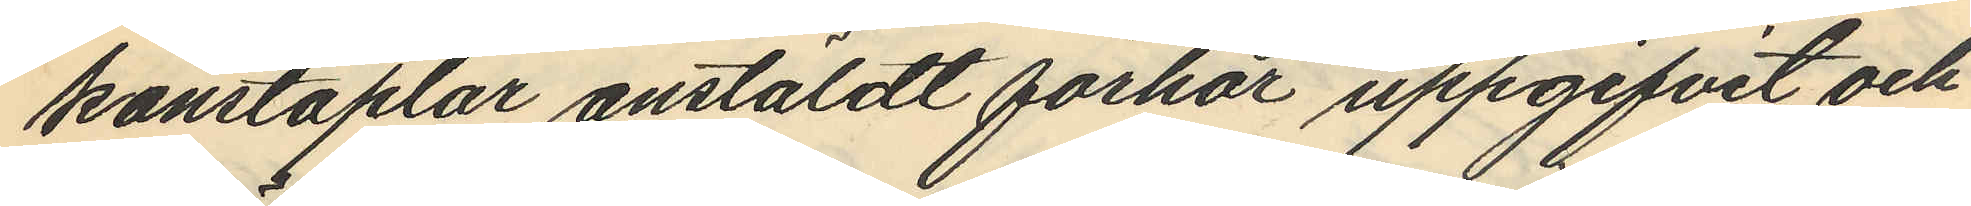konstaplar anstäldt förhör uppgifvit och
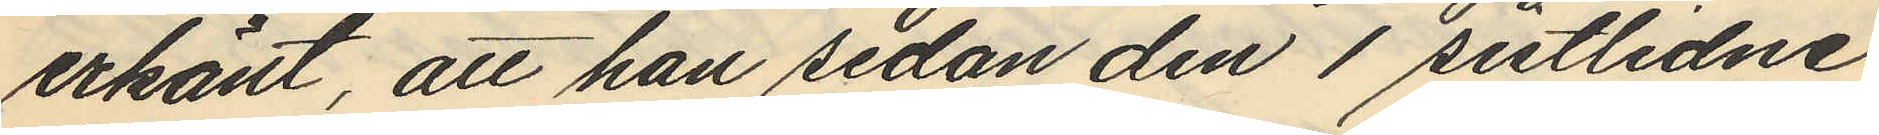erkänt, att han sedan den 1 sistlidne
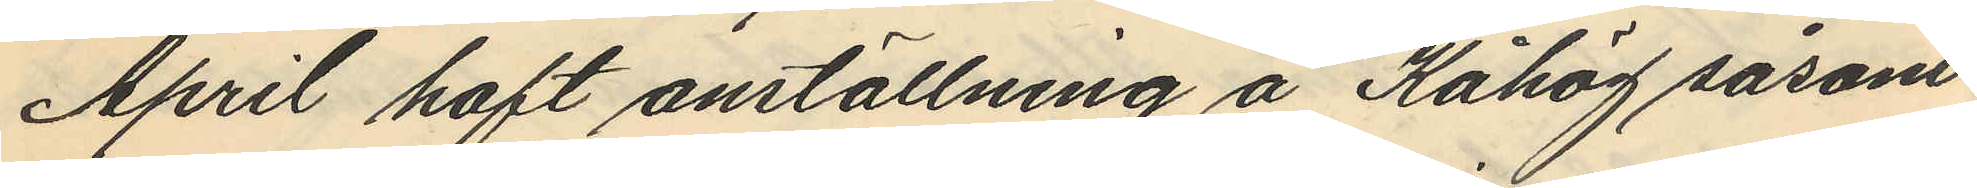April haft anställning å Kåhög såsom
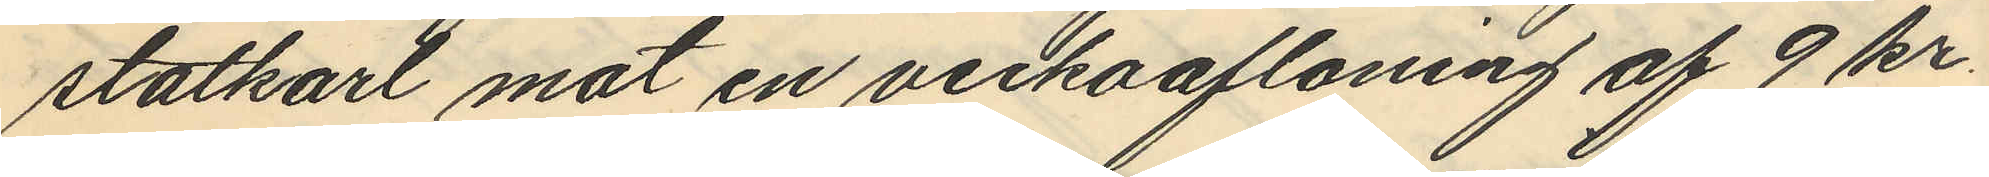statkarl mot en veckoafloning af 9 kr.
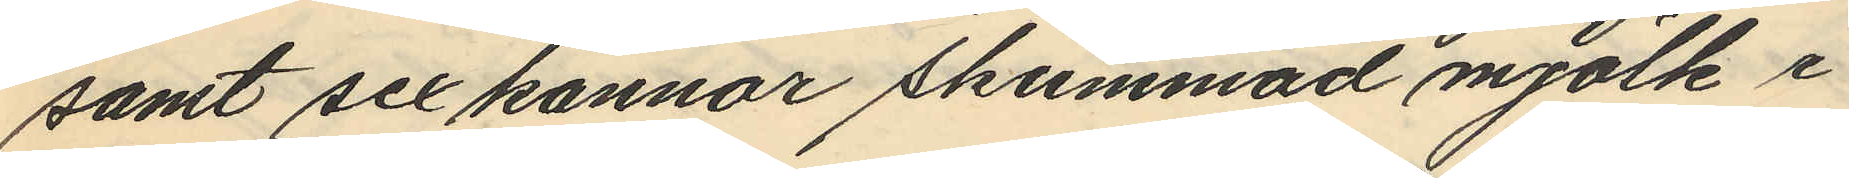samt sex kannor skummad mjölk i
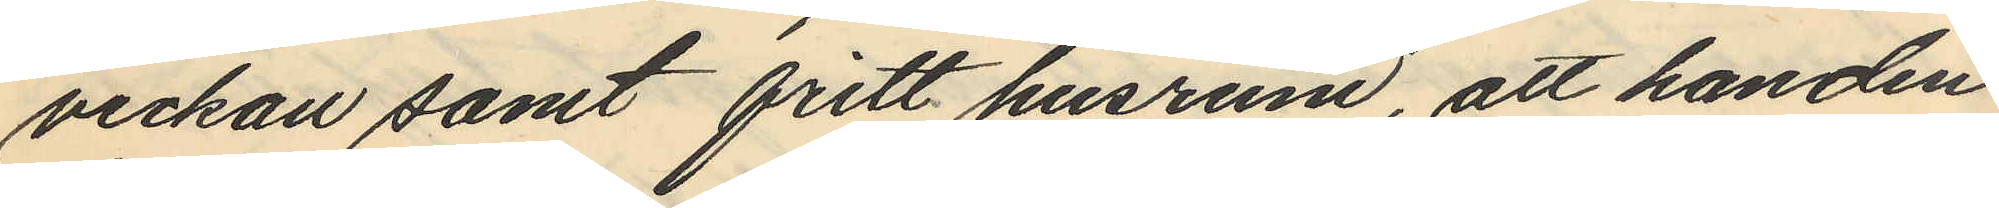veckan samt fritt husrum, att han den
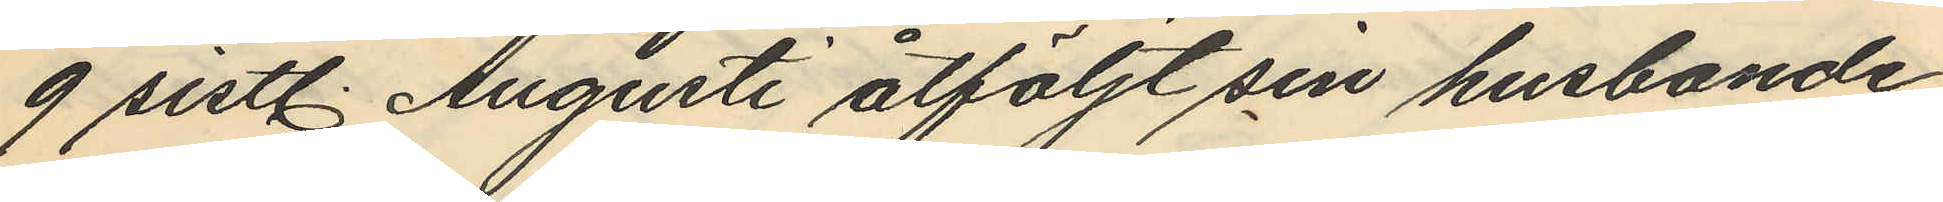9 sistl. Augusti åtföljt sin husbonde
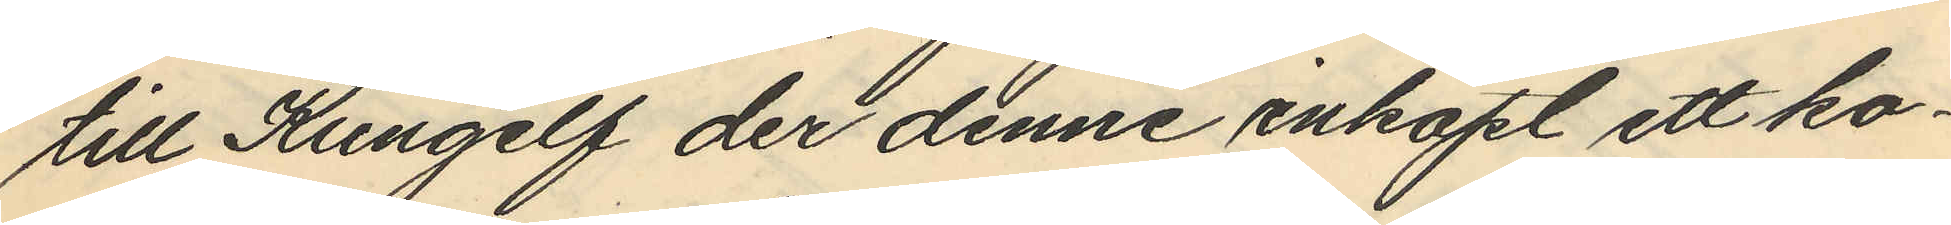till Kungelf der denne inköpt ett ko¬
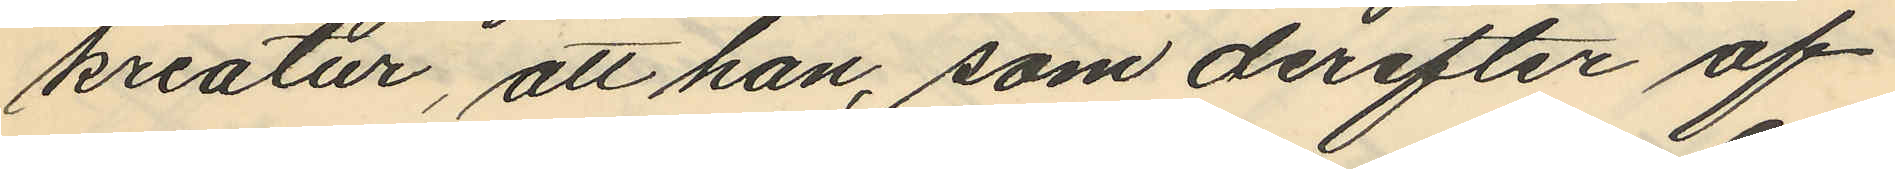kreatur, att han, som derefter af
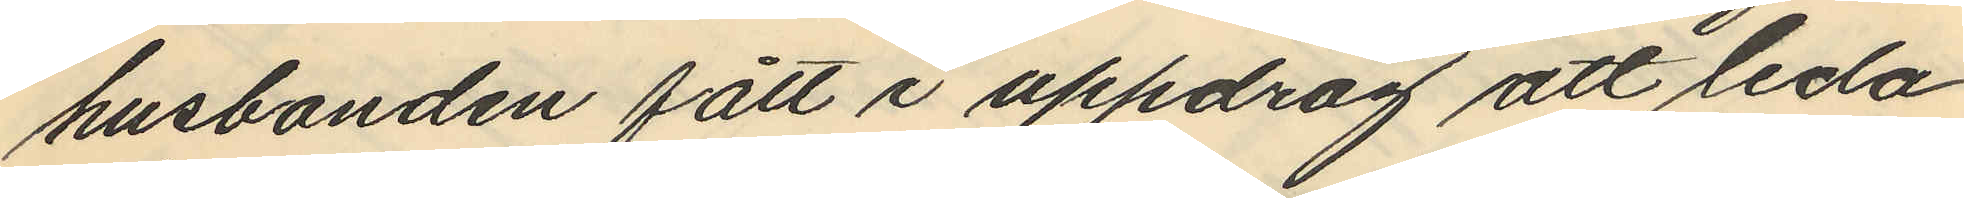husbonden fått i uppdrag att leda
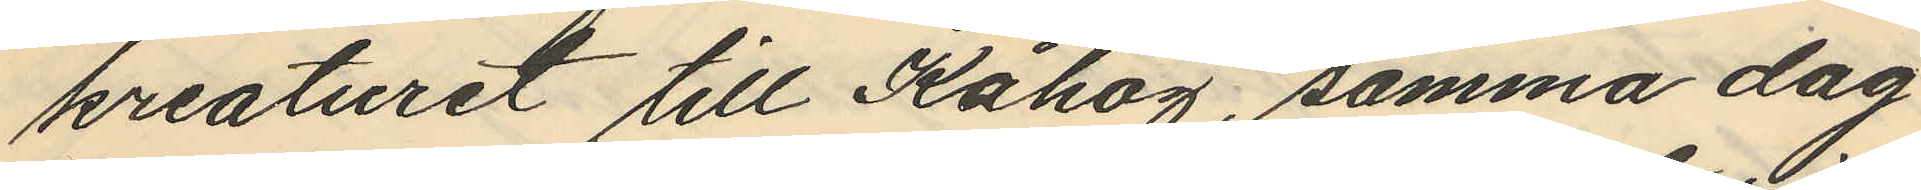kreaturet till Kåhög, samma dag
